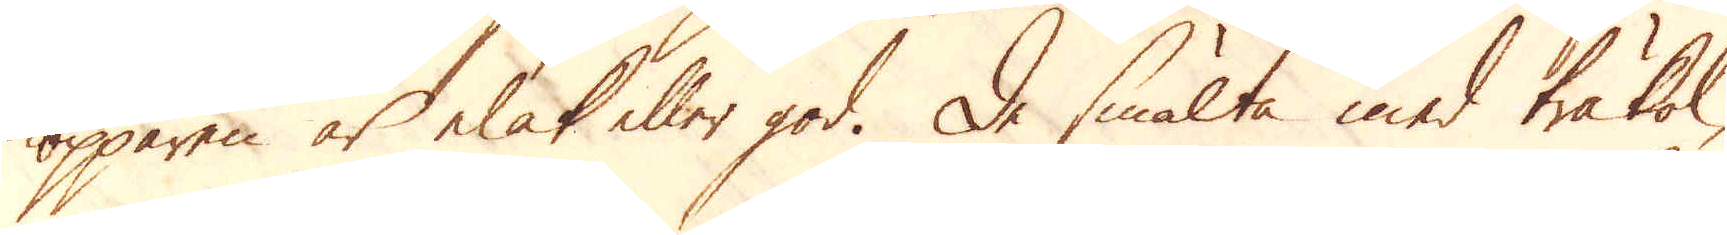kopparen är elak eller god. De smälta med träkol,
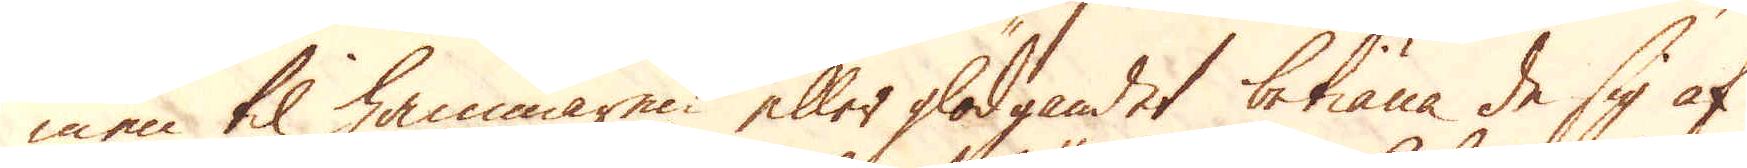men til hammaren eller glödgandet betiäna de sig af
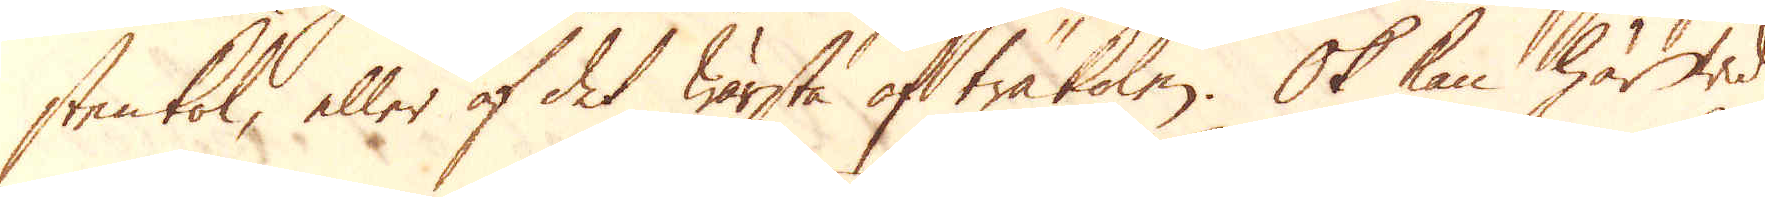stenkol, eller af det wärsta af träkolen. Ok kan här wid
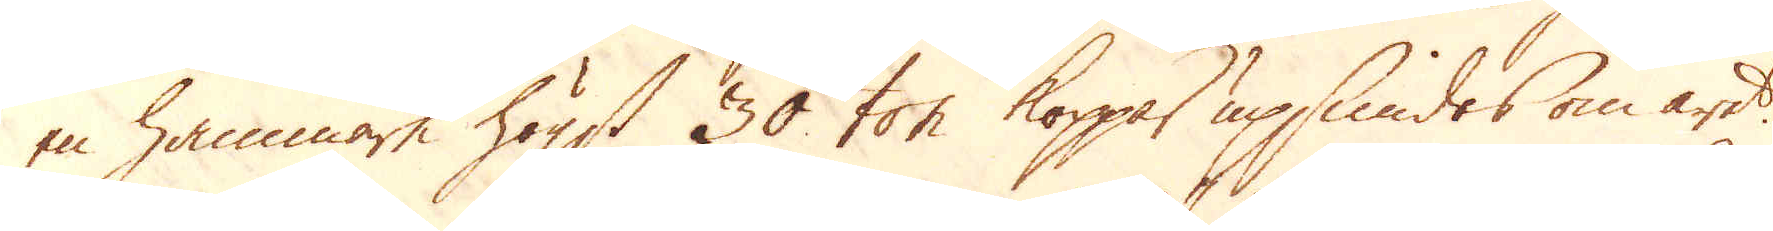en hammare högst 30 ton koppar upsmides om året.
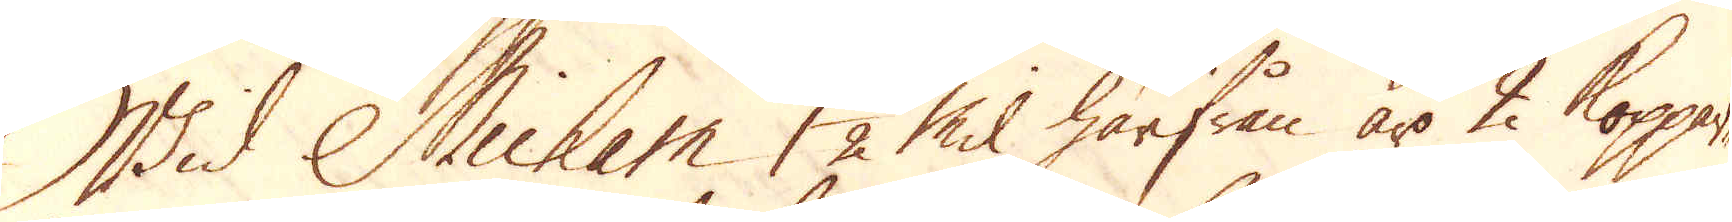Wid Micham 1 1/2 Mil härifrån äro 2 Koppar-
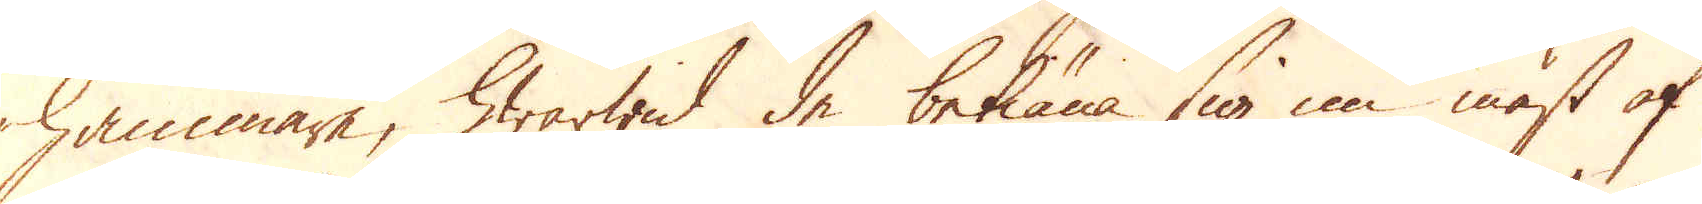hammare, hwarwid de betiäna sig nu mäst af
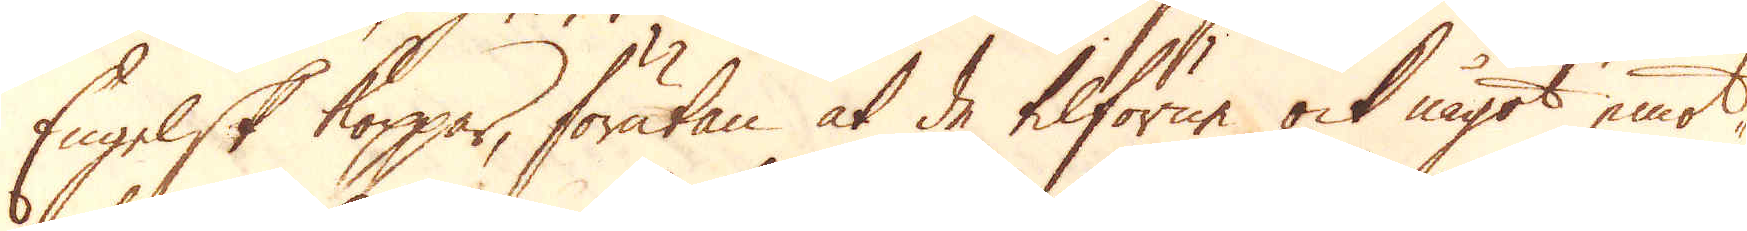Engelsk koppar, förutan at de tilförne ock något emot-
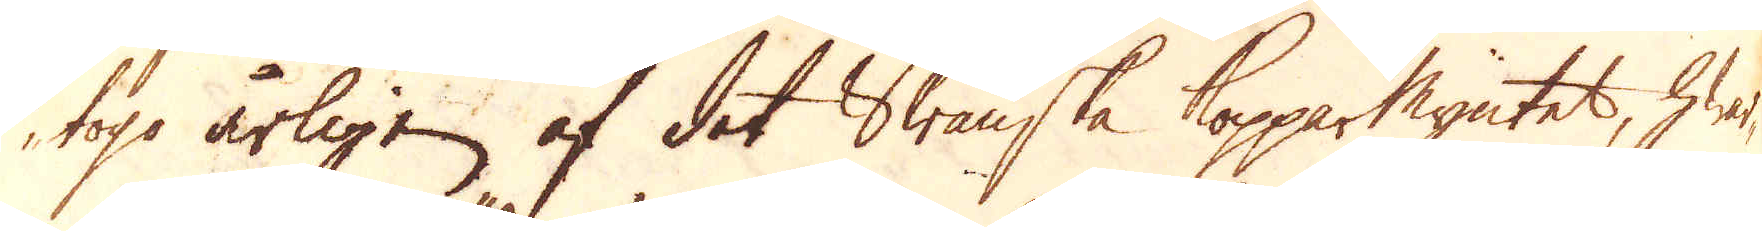togo årligen af det Swänske Kopparmyntet, hwar-
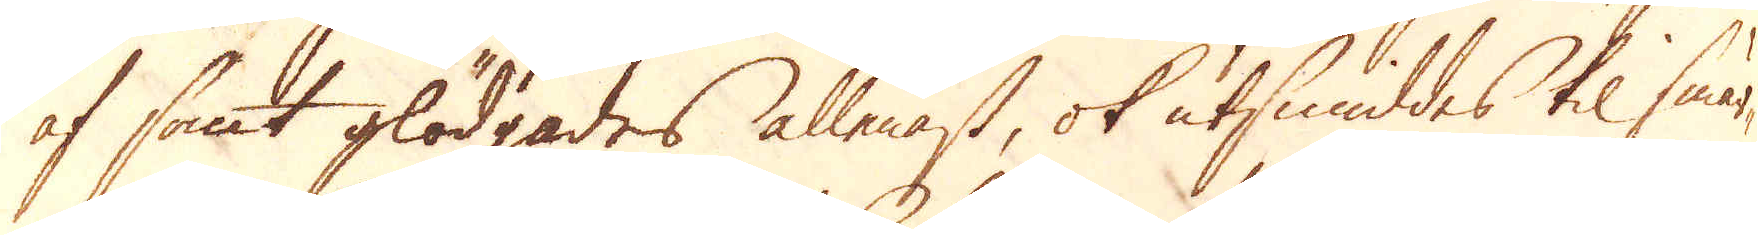af samt glödgades allenast, ok utsmiddes til smär-
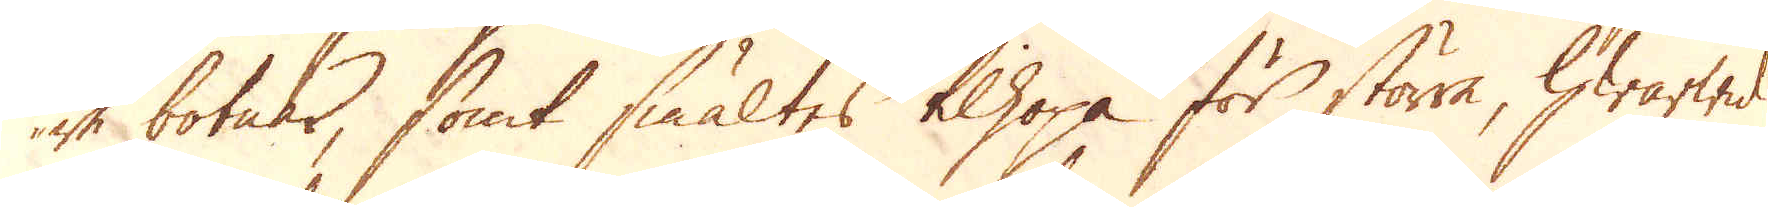re botnar, samt smältes tilhopa för större, hwarwid
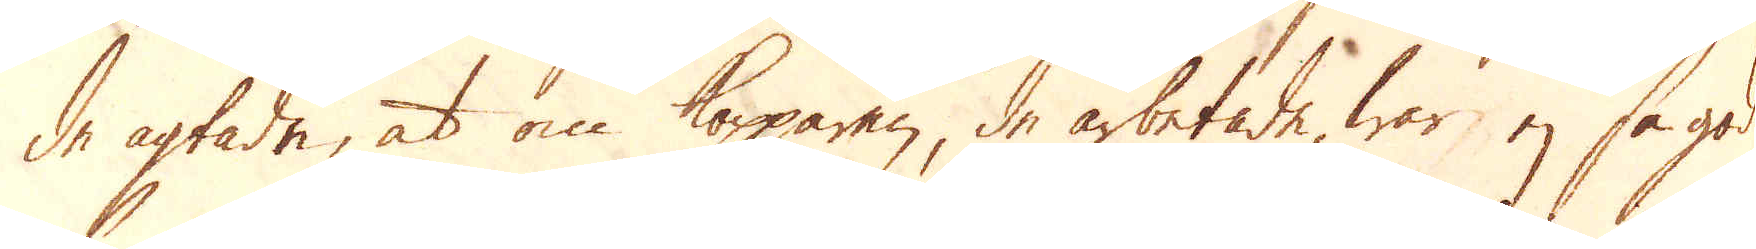de agtade, at om Kopparen, de arbetade, war ej så god
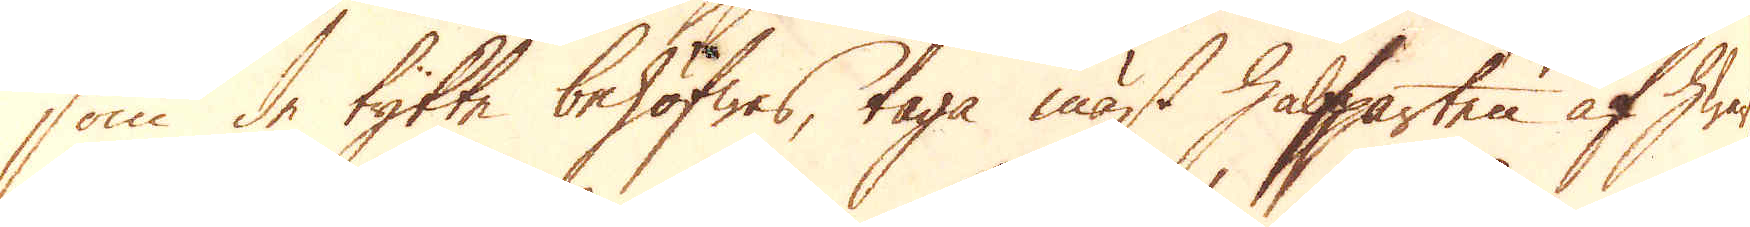som de tykte behöfwes, taga mäst halfparten af hwar-
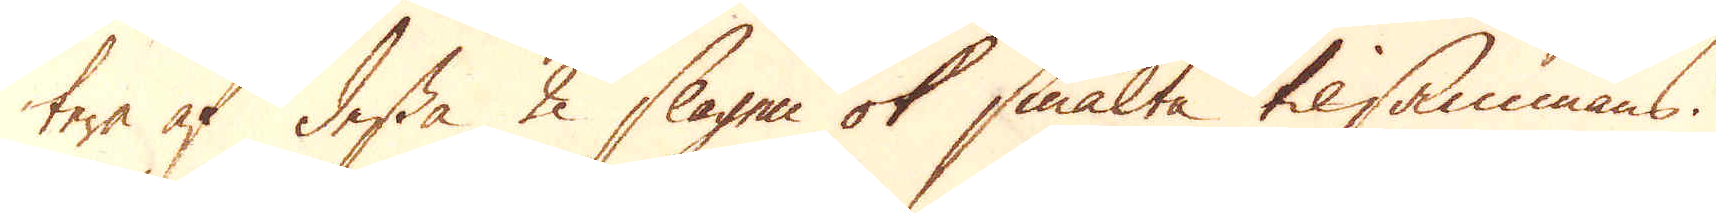tera af dessa 2 slagen ok smälta tilsammans.
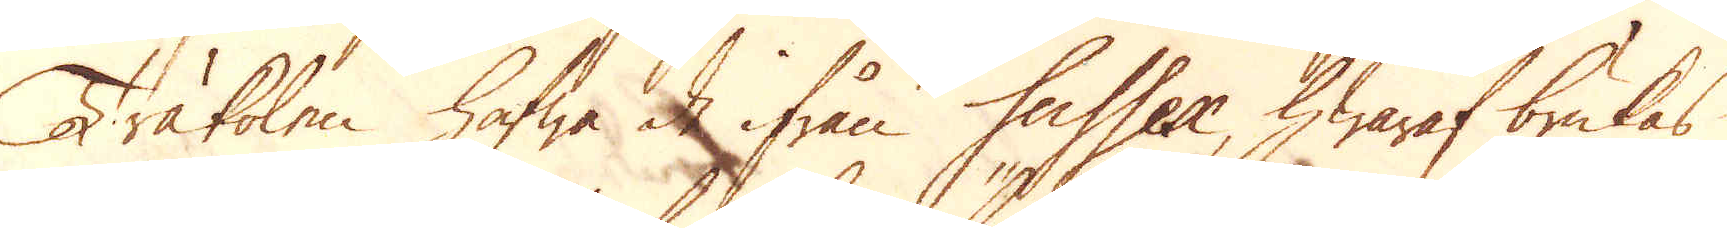Träkolen hafwa de ifrån Sussex, hwaraf brukas
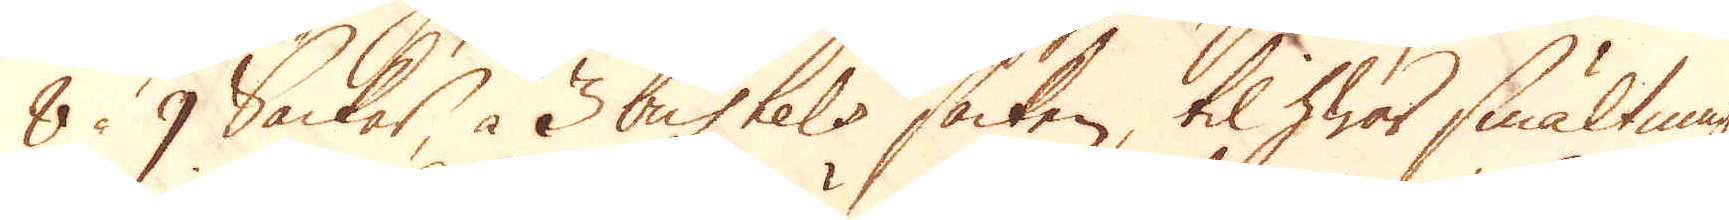8 à 9 Säckar, à 3 bushels säcken, til hwar smältning,
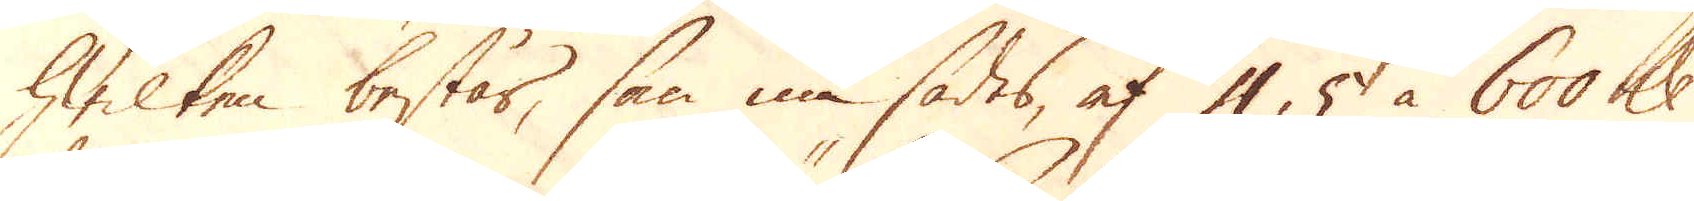hwilken består, som nu sades, af 4, 5 à 600 skålpund
